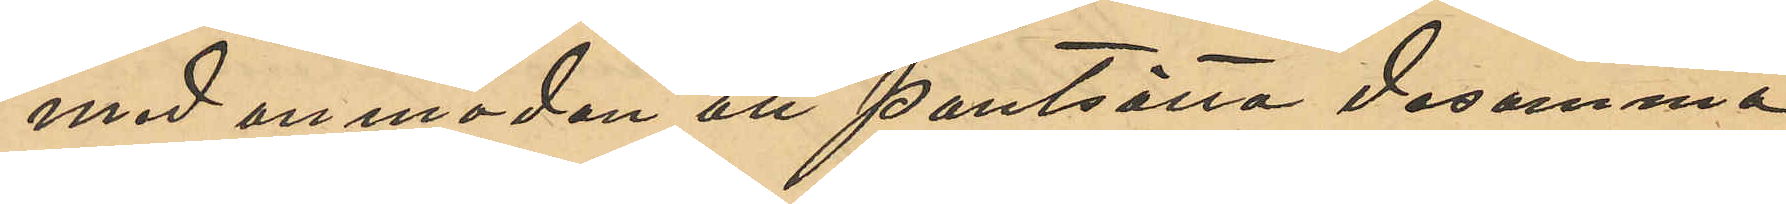med anmodan att pantsätta desamma
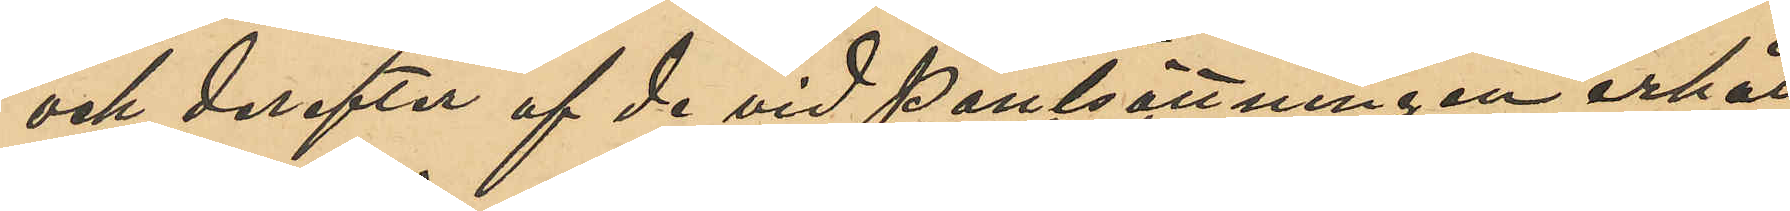och derefter af de vid pantsättningen erhåll¬
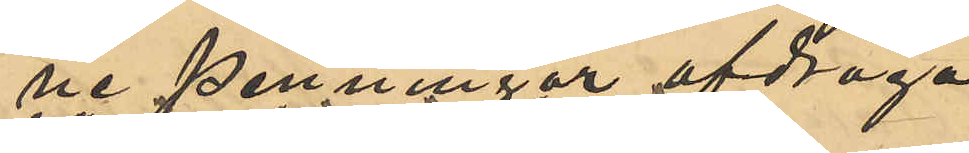ne penningar afdraga
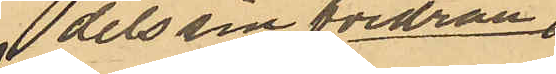dels sin fodran
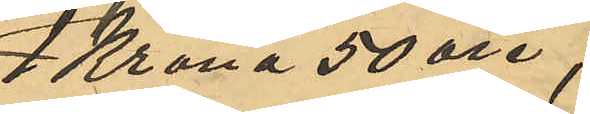1 Krona 50 öre,
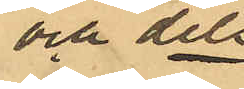och dels
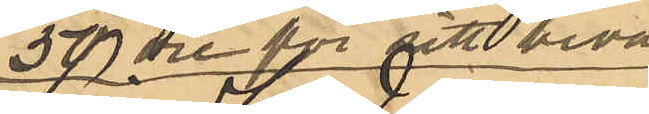50 öre för sitt besvär
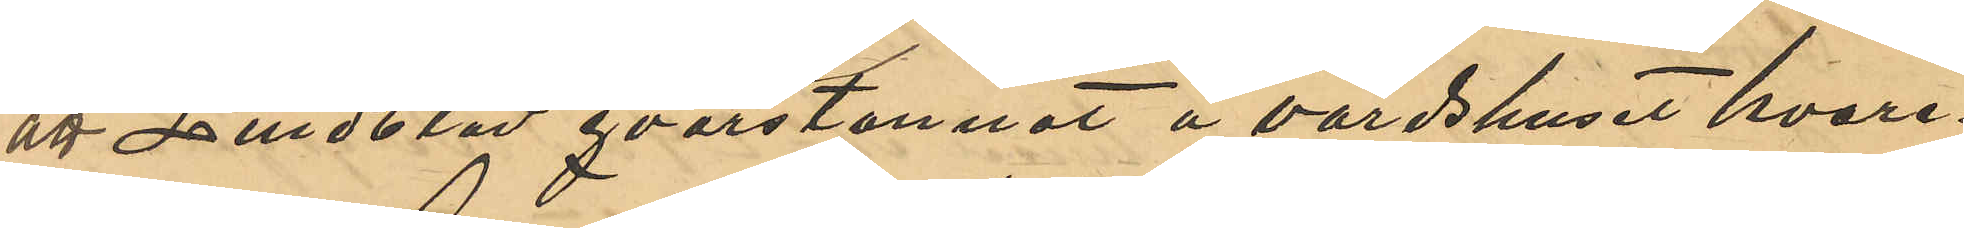att Lindblad qvarstannat å värdshuset hvare¬
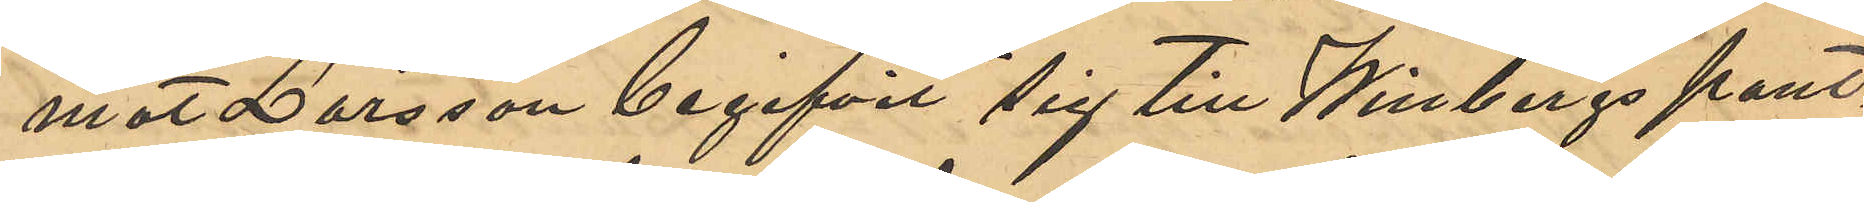mot Larsson begifvit sig till Winbergs pant¬
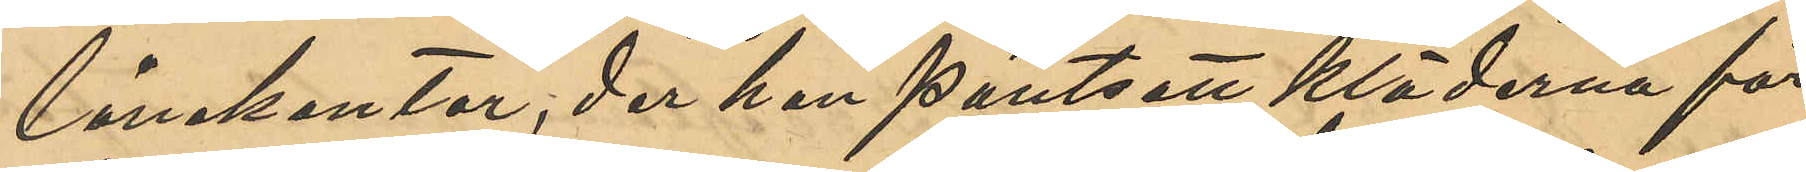lånekontor, der han pantsatt kläderna för
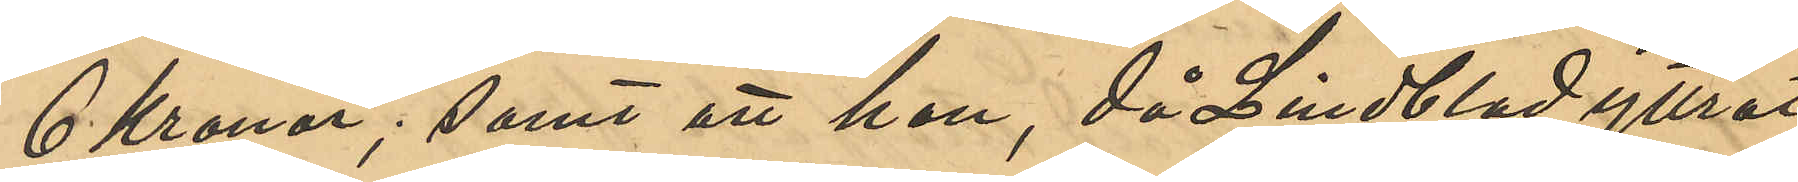6 Kronor; samt att han, då Lindblad yttrat
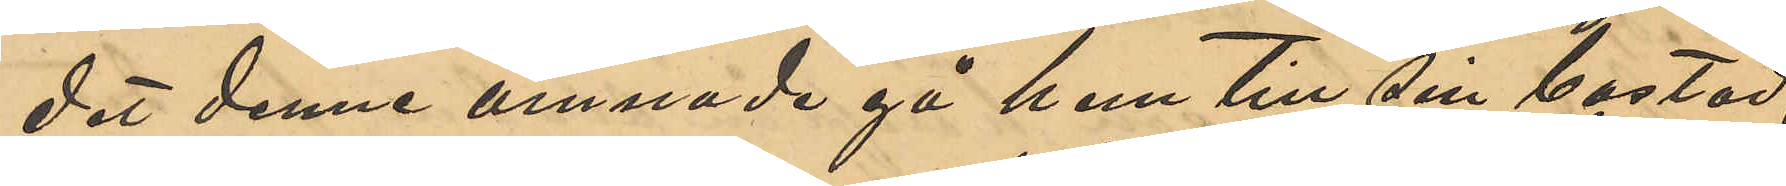det denne ämnade gå hem till sin bostad,
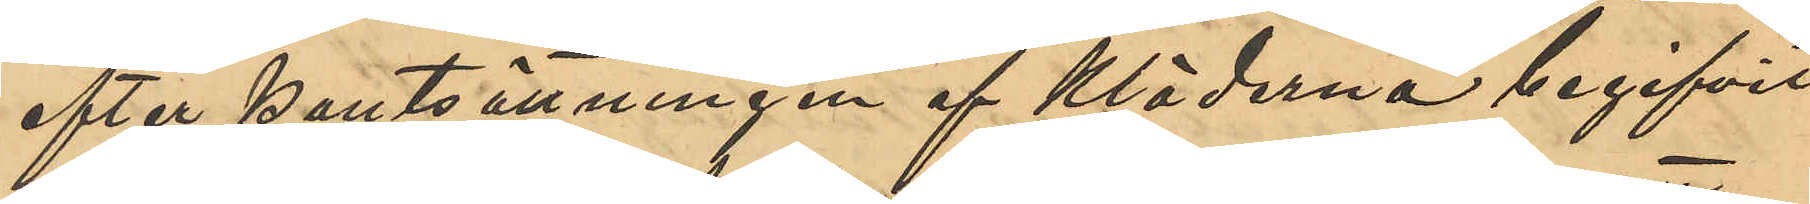efter pantsättningen af kläderna begifvit
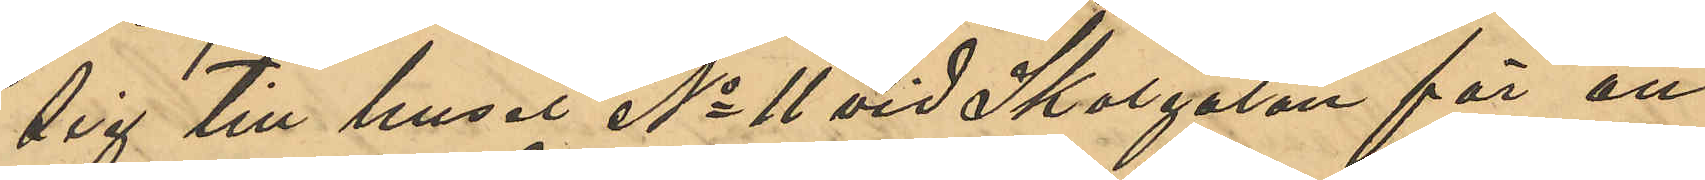sig till huset No 11 vid Skolgatan för att
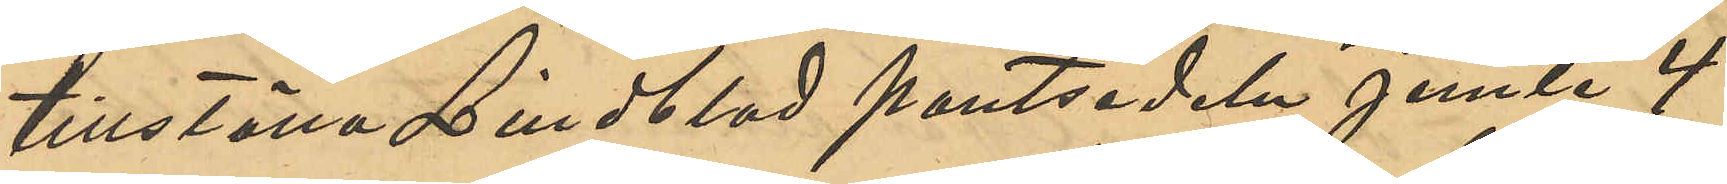tillställa Lindblad pantsedeln jemte 4
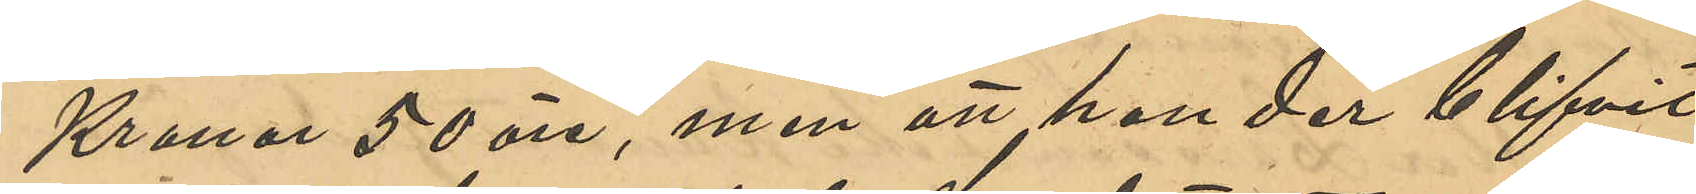Kronor 50 öre, men att han der blifvit
